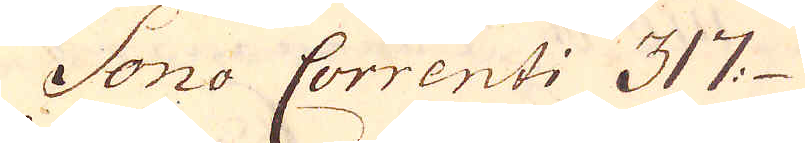Sono Correnti 317
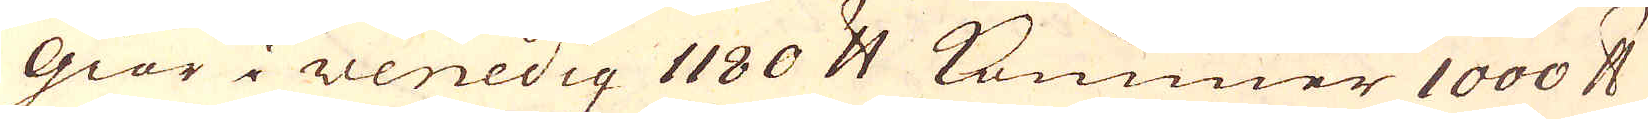Giör i Venedig 1180 skålpund kommer 1000 skålpund
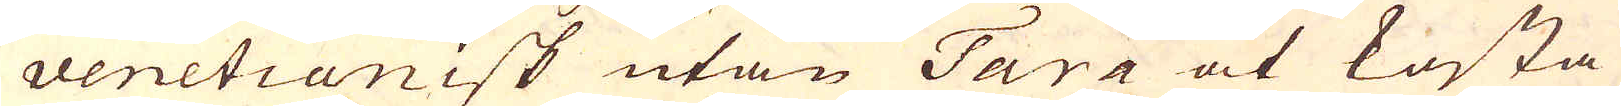venetianisk utan Tara at kosta
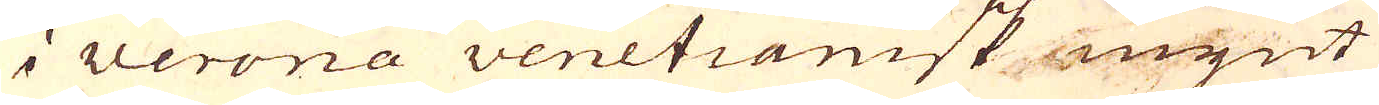i Verona venetianisk mynt
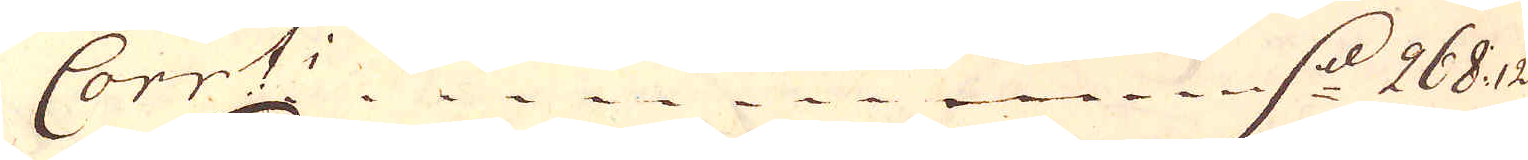Corr:ti d. 268:12
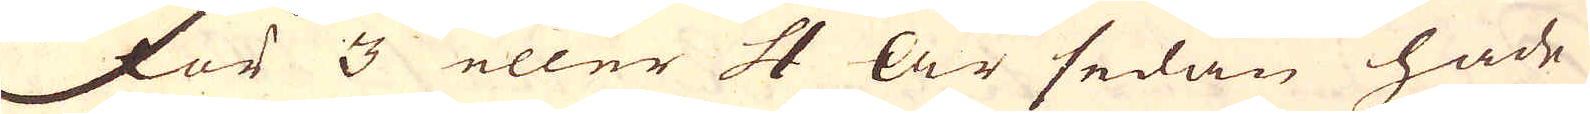För 3 eller 4 år sedan hade
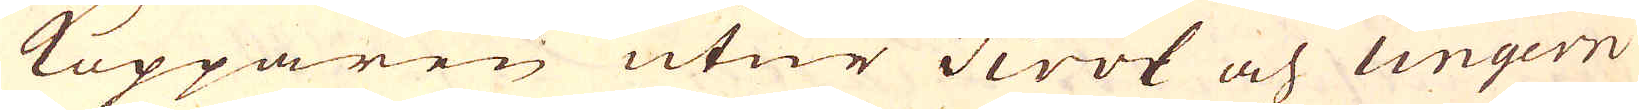Kopparen utur Tirol och Ungern
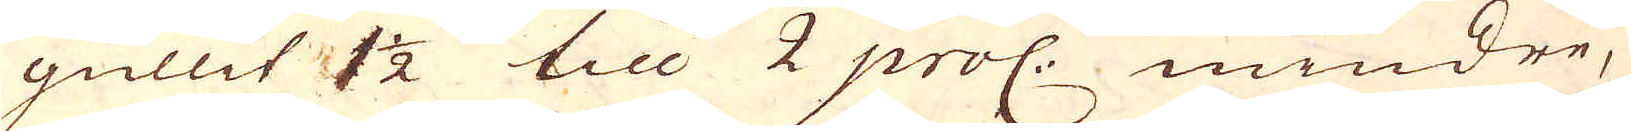gullit 1 1/2 till 2 proc: mindre,
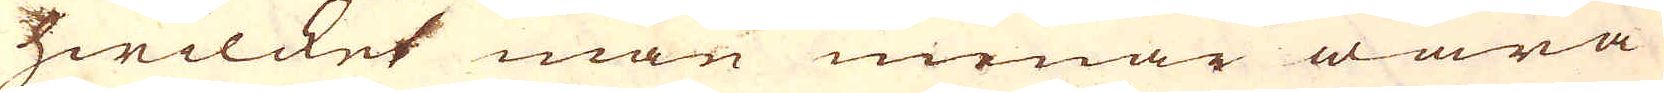hwilcket man menar wara
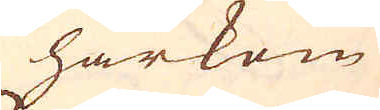härkom
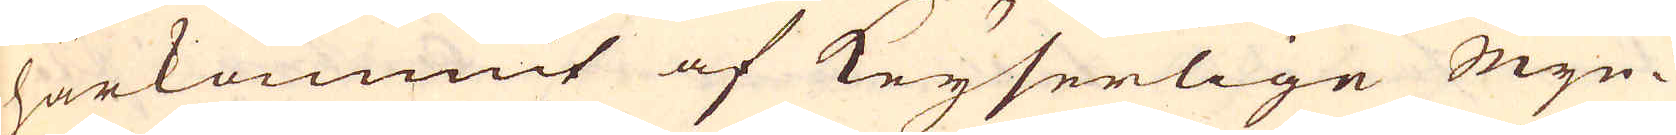härkommit af Keyserlige Myn-
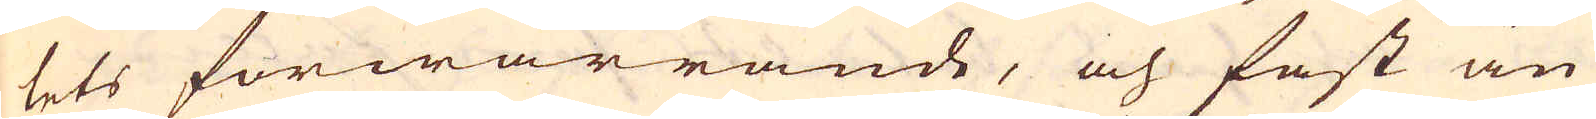tets förwärrande, och fast än
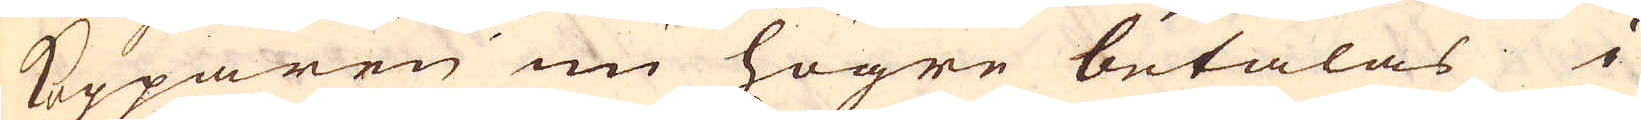Kopparen nu högre betalas i
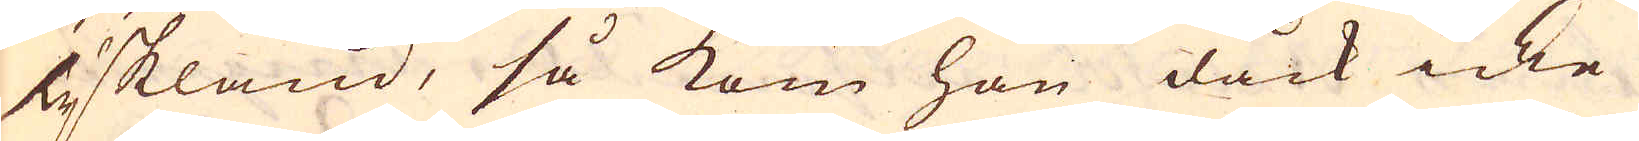Tyskland, så kom han dåck icke
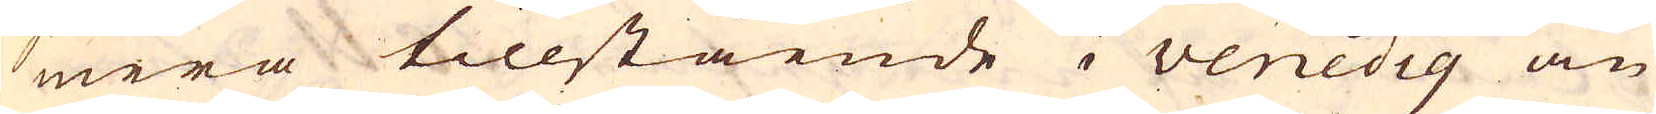mera tillstående i venedig än
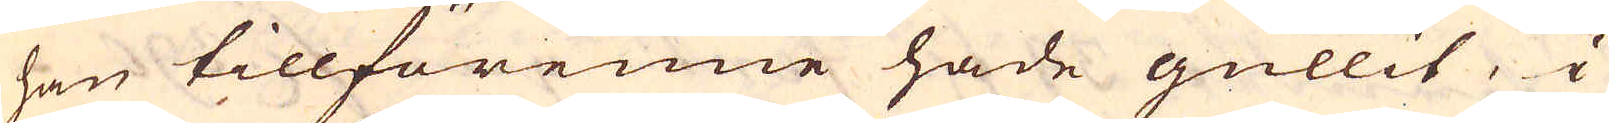han tillförenne hade gullit, i
